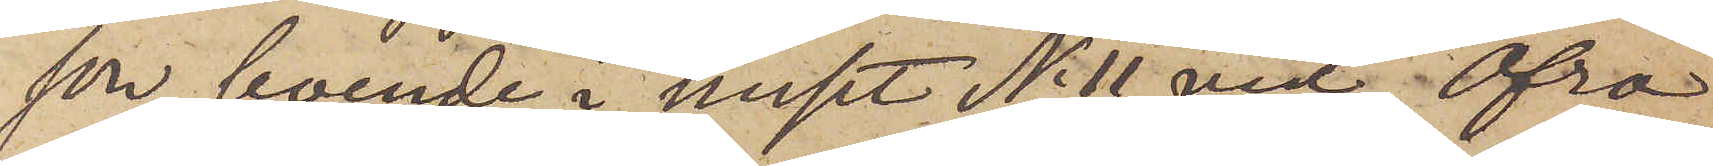son, boende i huset No 11 vid Öfra
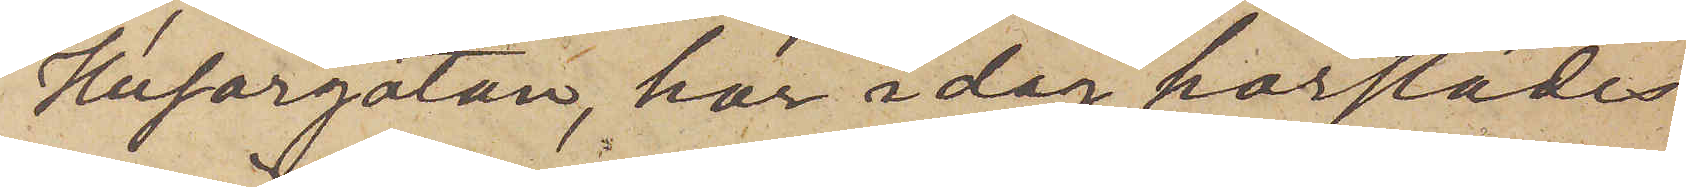Husargatan, har i dag härstädes
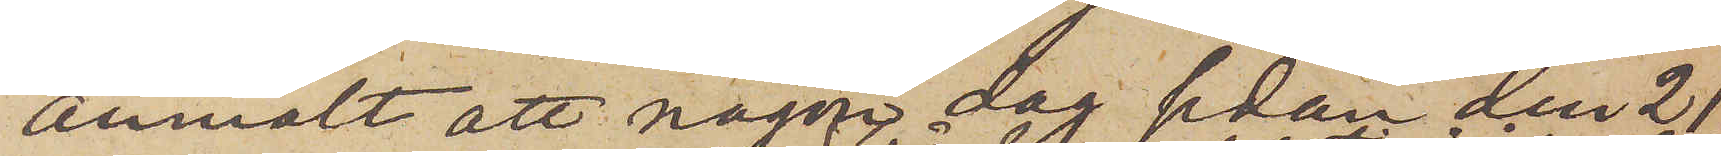anmält att någon dag sedan den 21
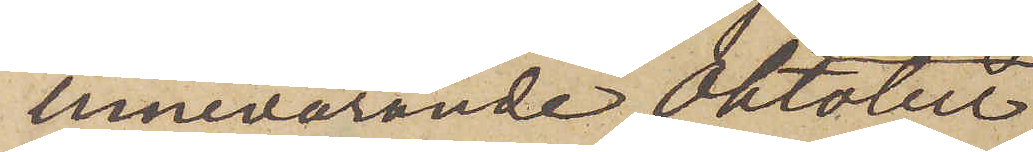innevarande Oktober
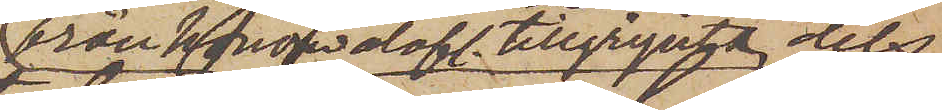från honom olofl. tillgripits, dels
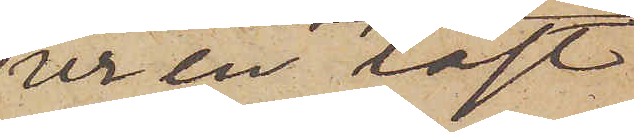ur en låst
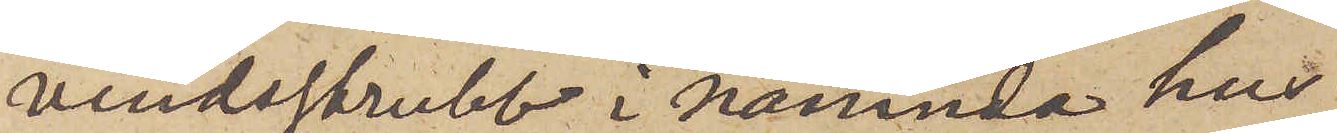vindsskrubb i nämnda hus
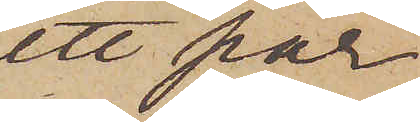ett par
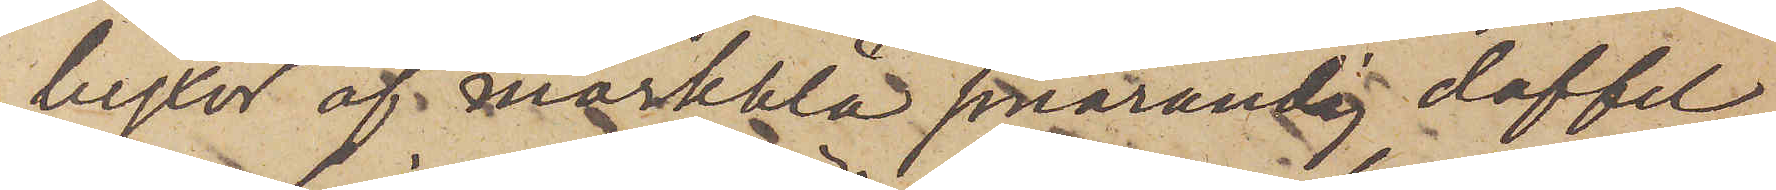byxor af mörkblå smårandig doffel
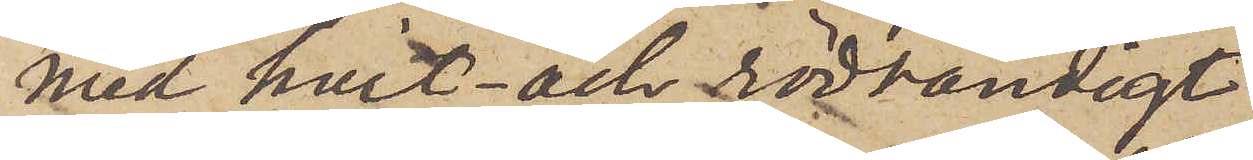med hvit- och rödrandigt
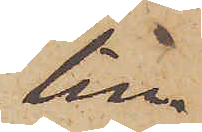lin¬
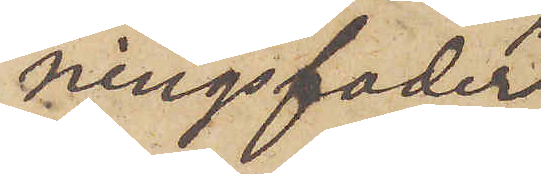ningsfoder
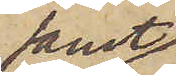samt
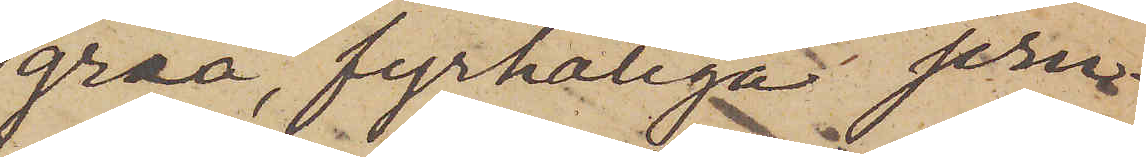gråa, fyrhåliga jern¬
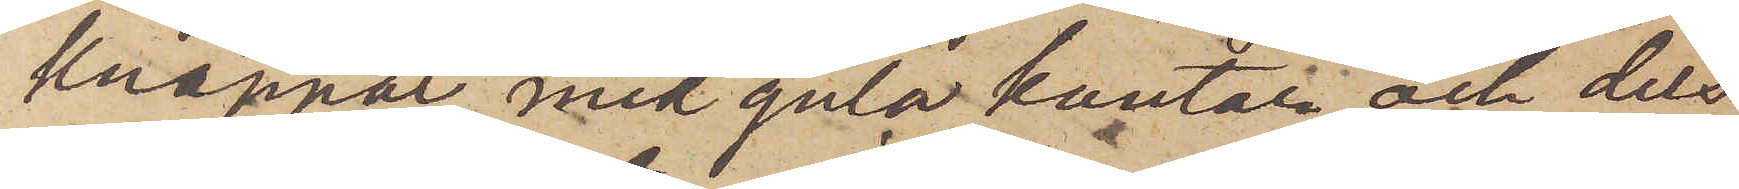knappar med gula kanter och dels
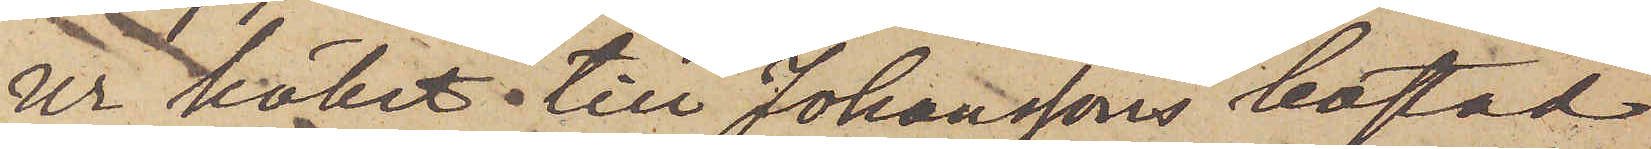ur köket till Johanssons bostad
